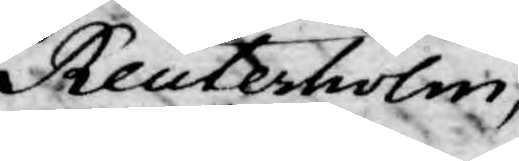Reuterholm,
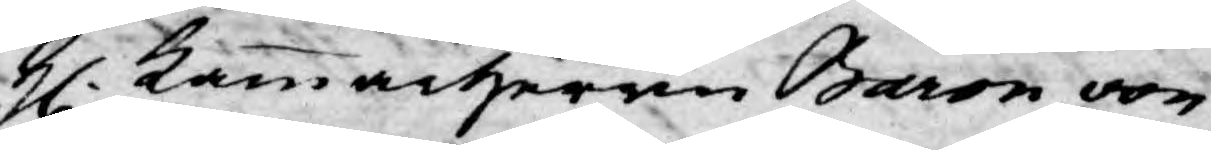H. Kammarherren Baron von
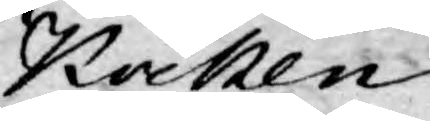Kocken
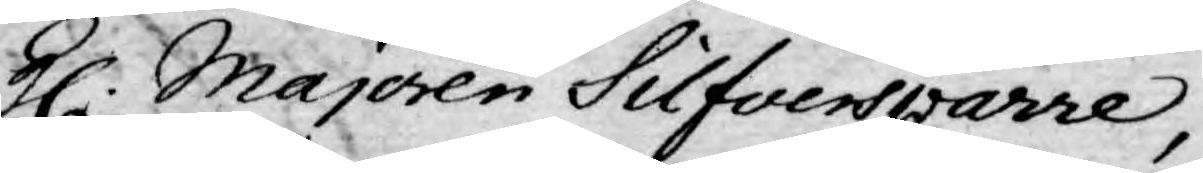H. Majoren Silfversparre,
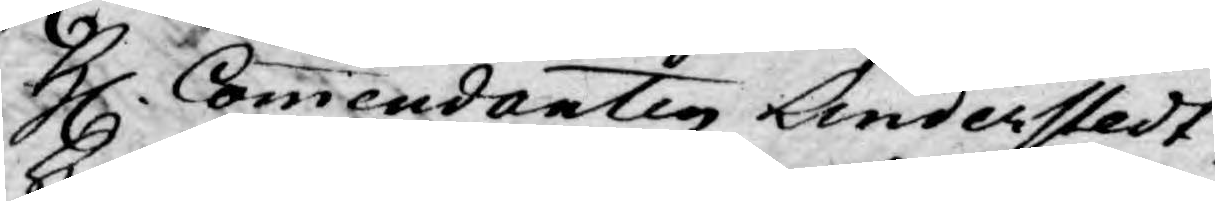H. Commendanten Linderstedt
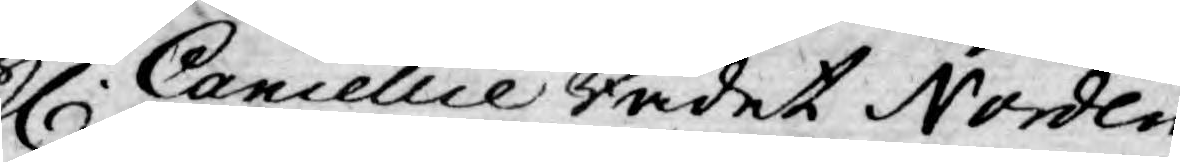H. Cancellie Rådet Norden¬
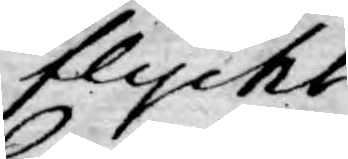flycht
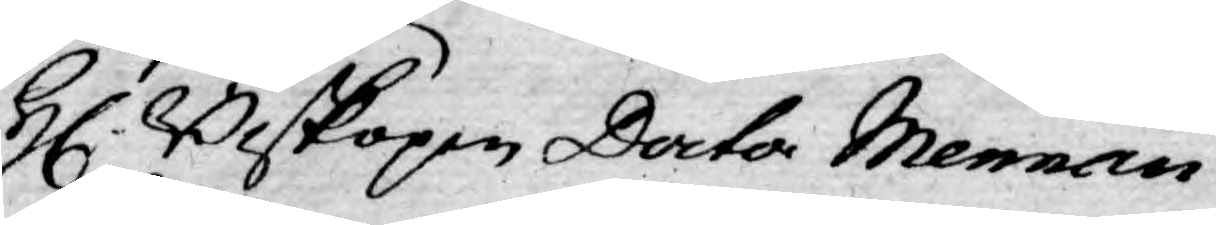H. Biskopen Doctor Mennan¬
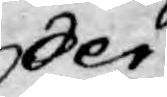der
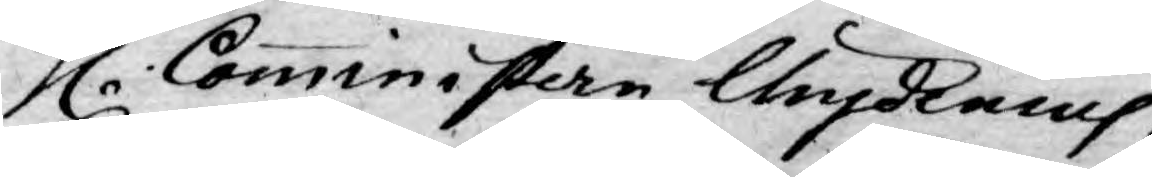H. Commnistern Chydenius
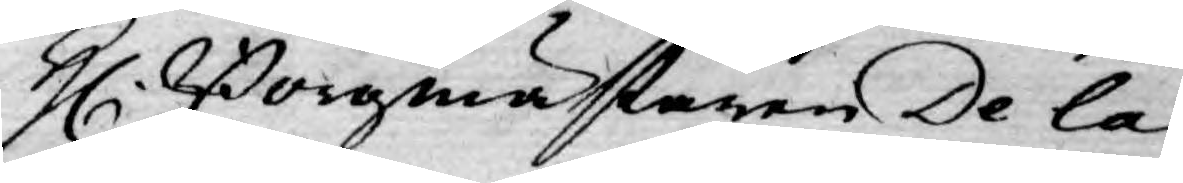H. Borgmästaren De la
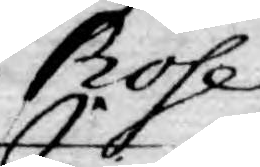Rose
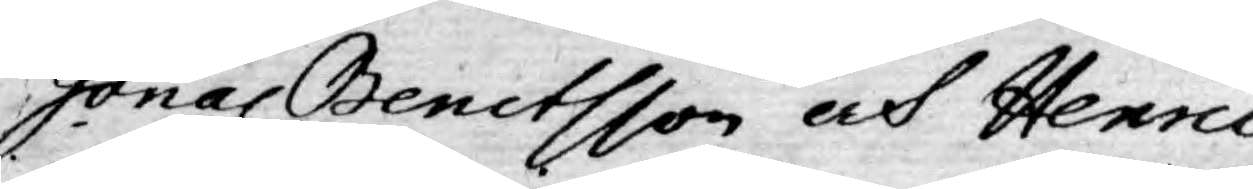Jonas Benctsson och Henric
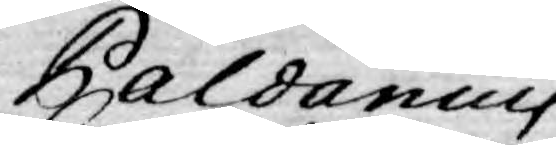Paldanius
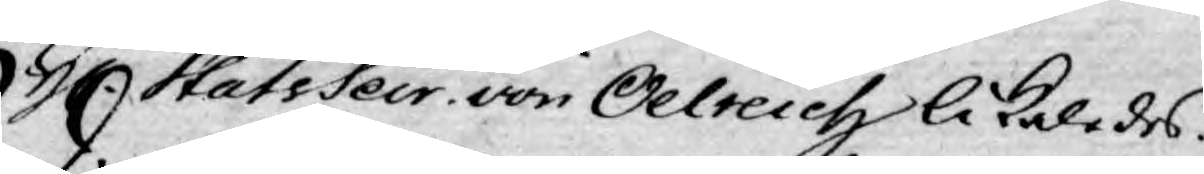H. StatsSecr. von Oelreich likaledes.
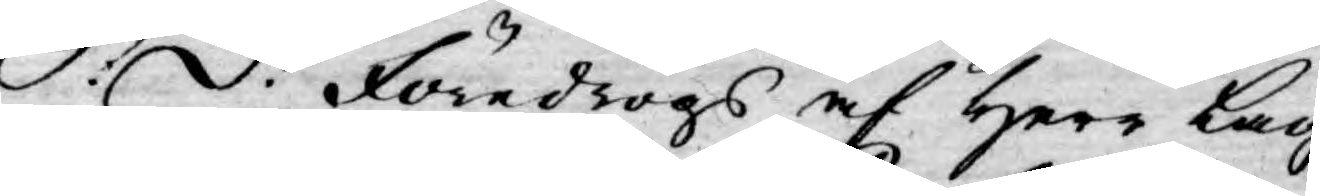S: d: Föredrogs af Herr Lag¬
